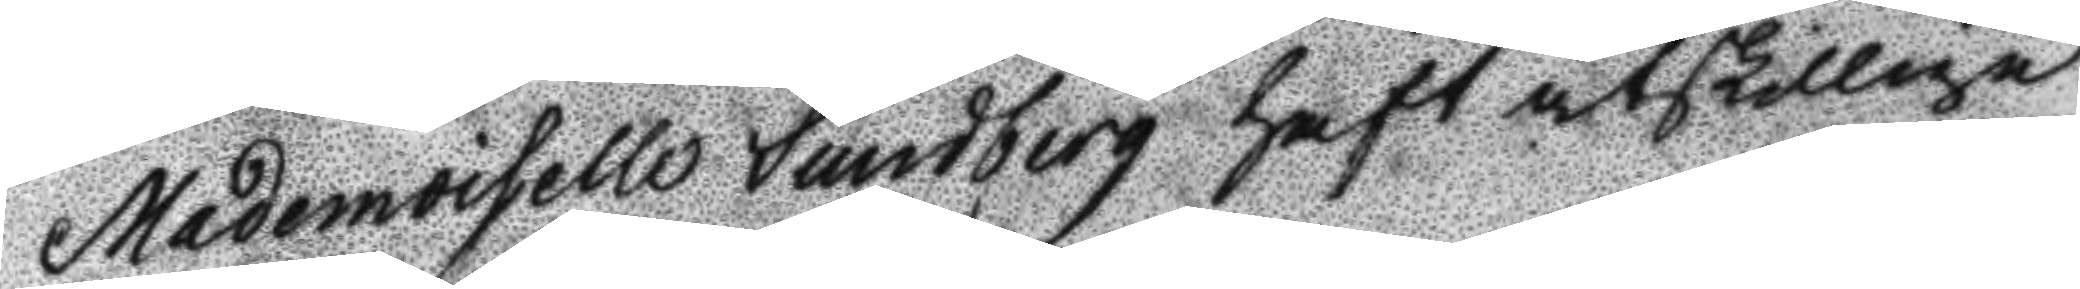Mademoiselle Lundberg haft åtskilliga
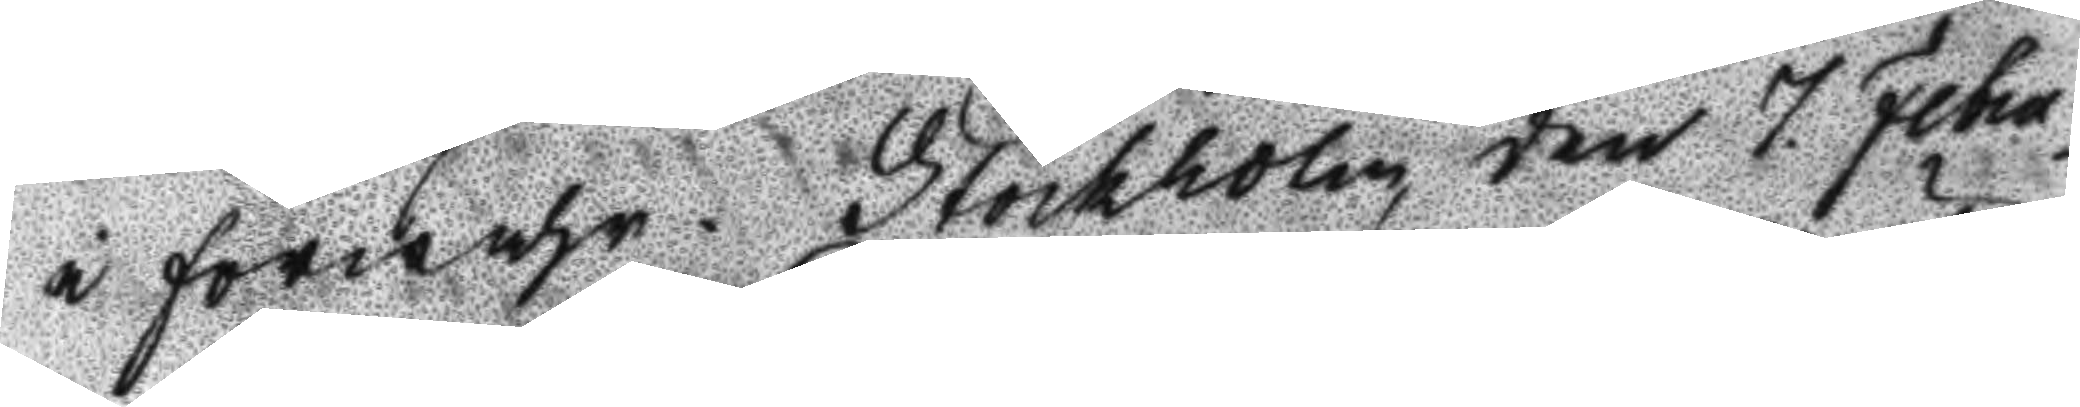i förwahr. Stockholm den 7. Febru¬
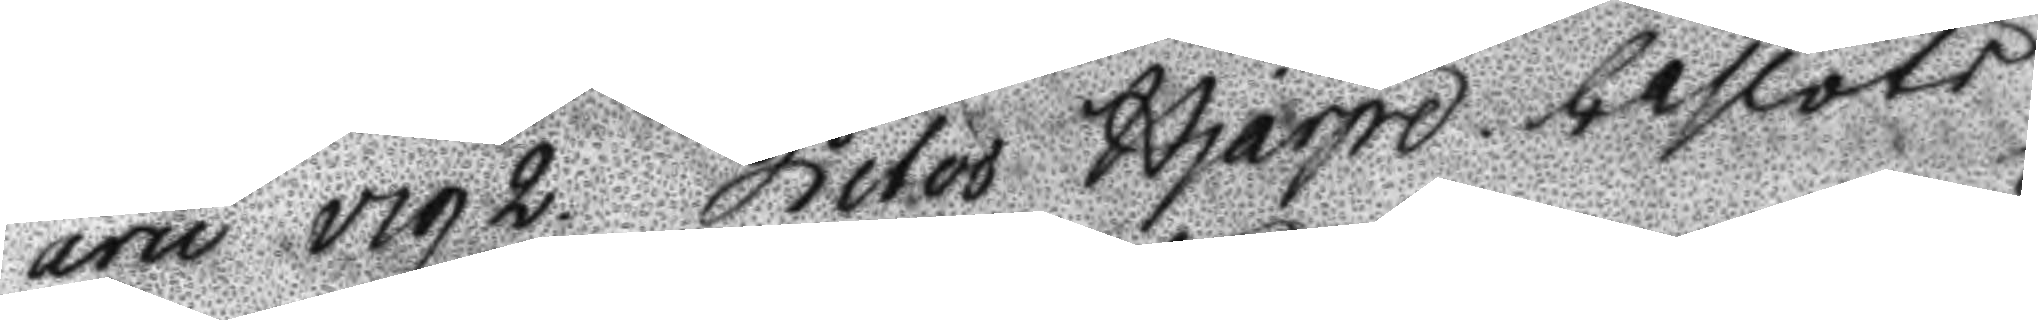aru 1792. Peter Hjärpe. beslöts
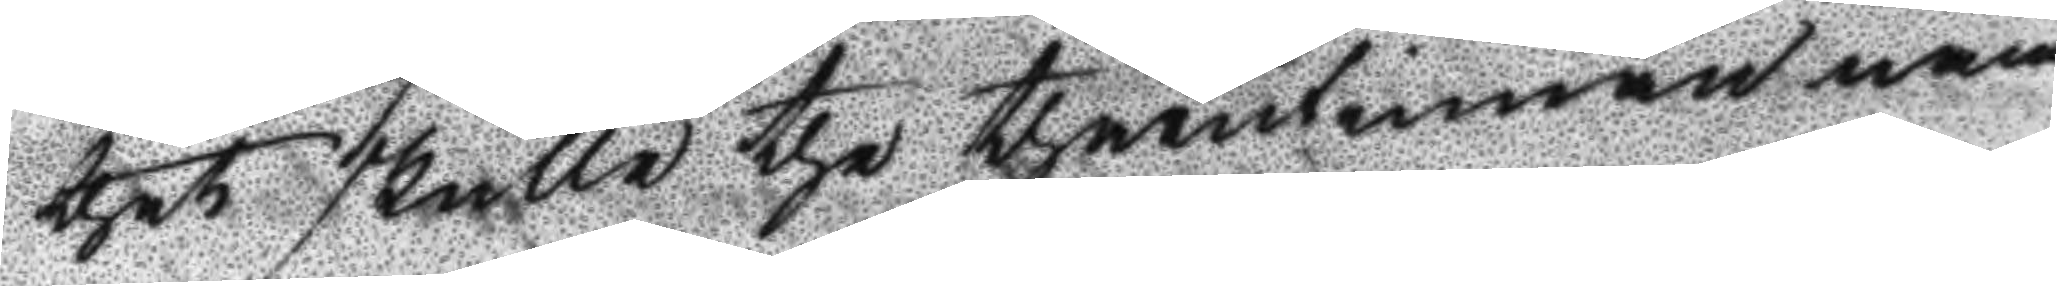thet skulle the thärutinnan näm¬
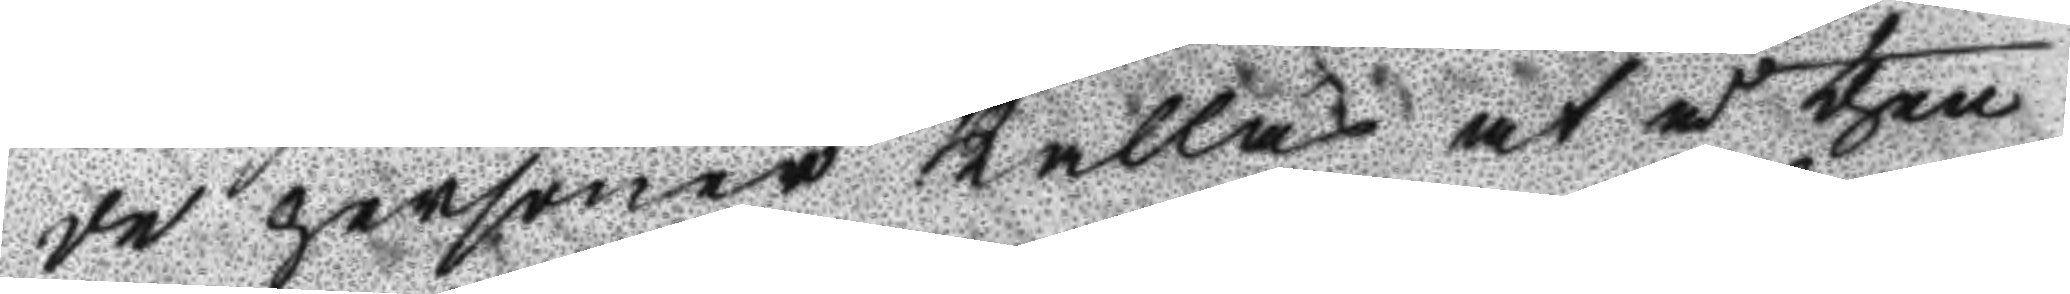de personerna kallas at å then
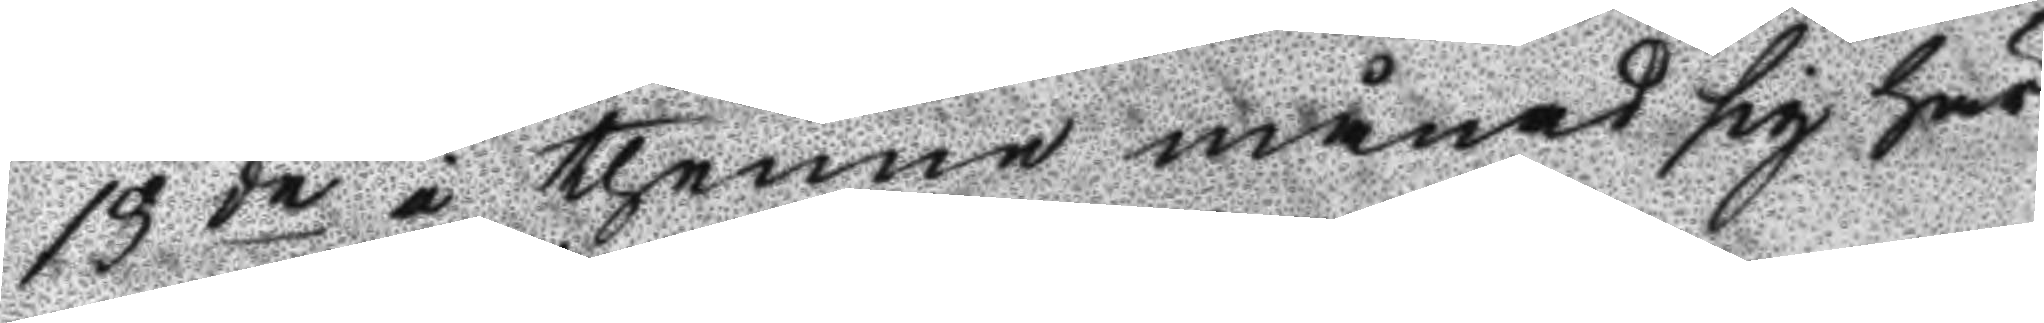13de i thenne månad sig här
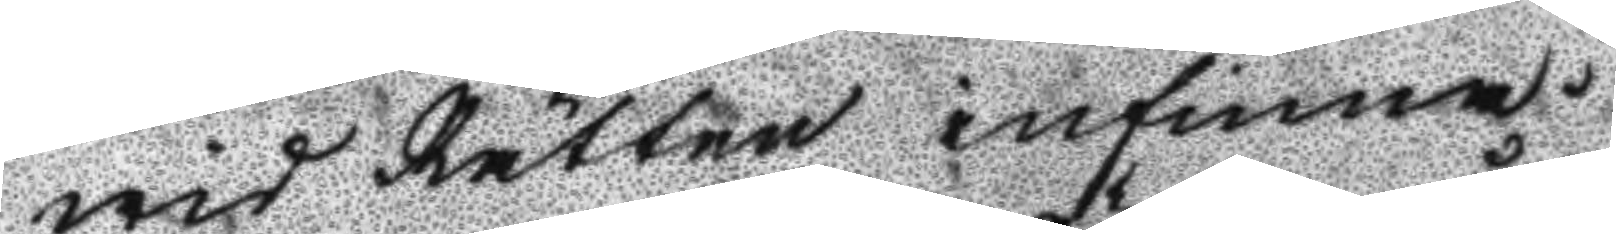wid Rätten infinna.
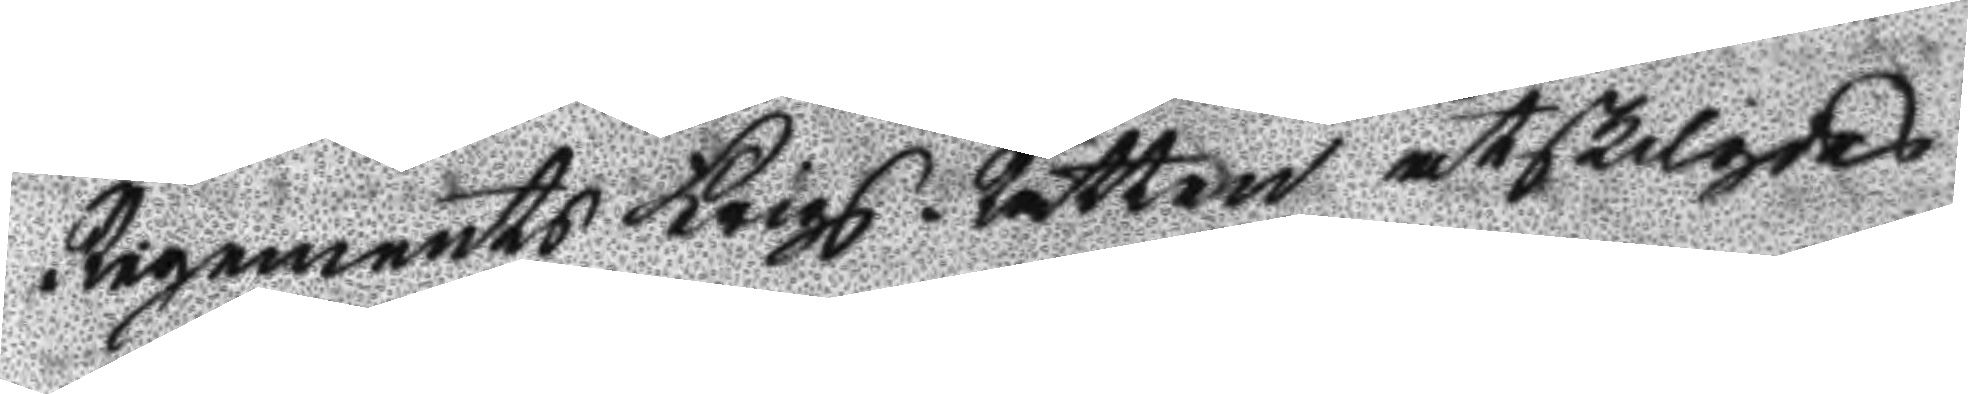Regements Krigs Rätten åtskilgdes.
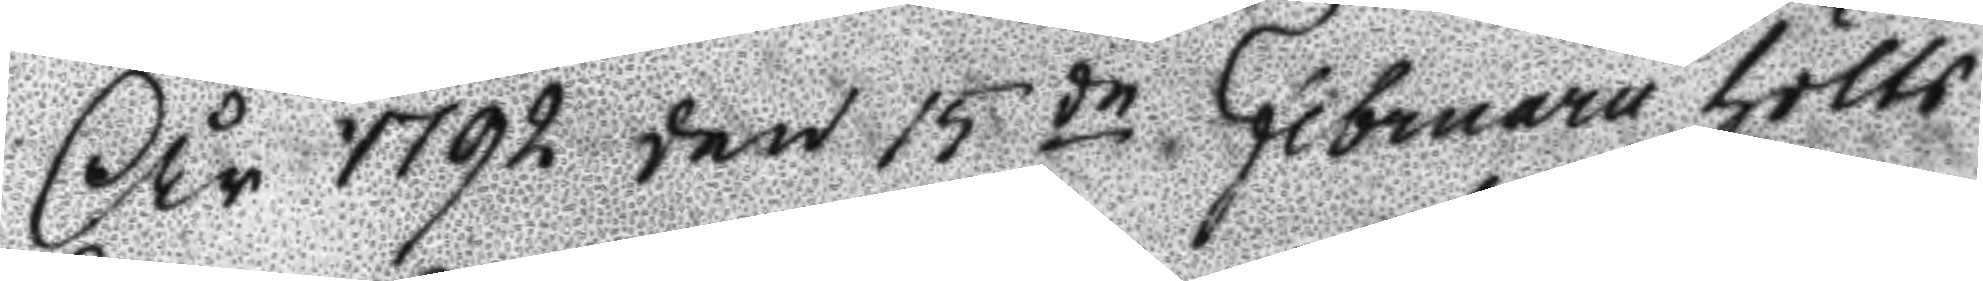År 1792 den 15de Februaru hölts
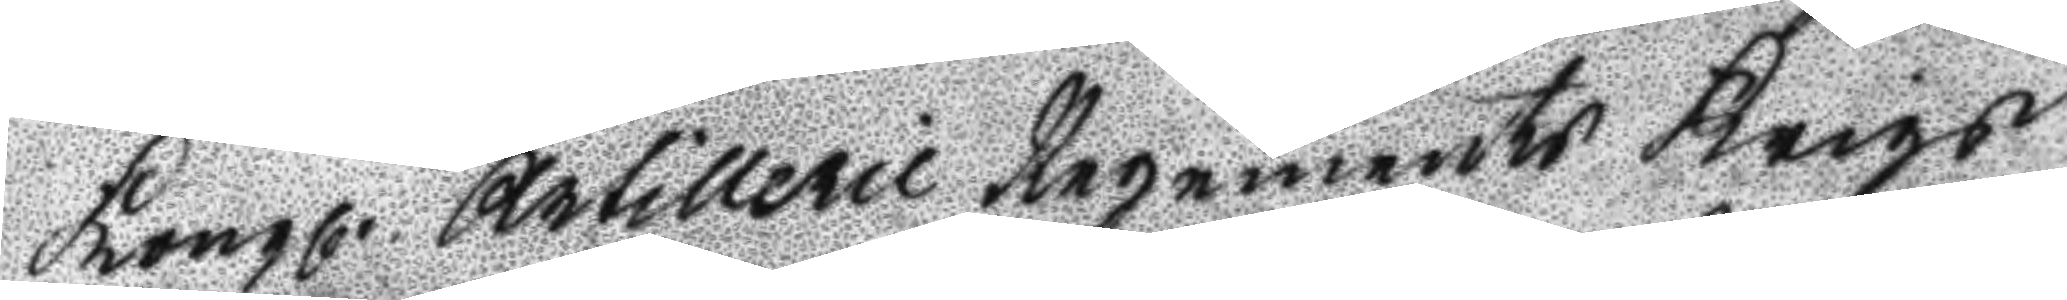Kongl. Artillerie Regements Krigs
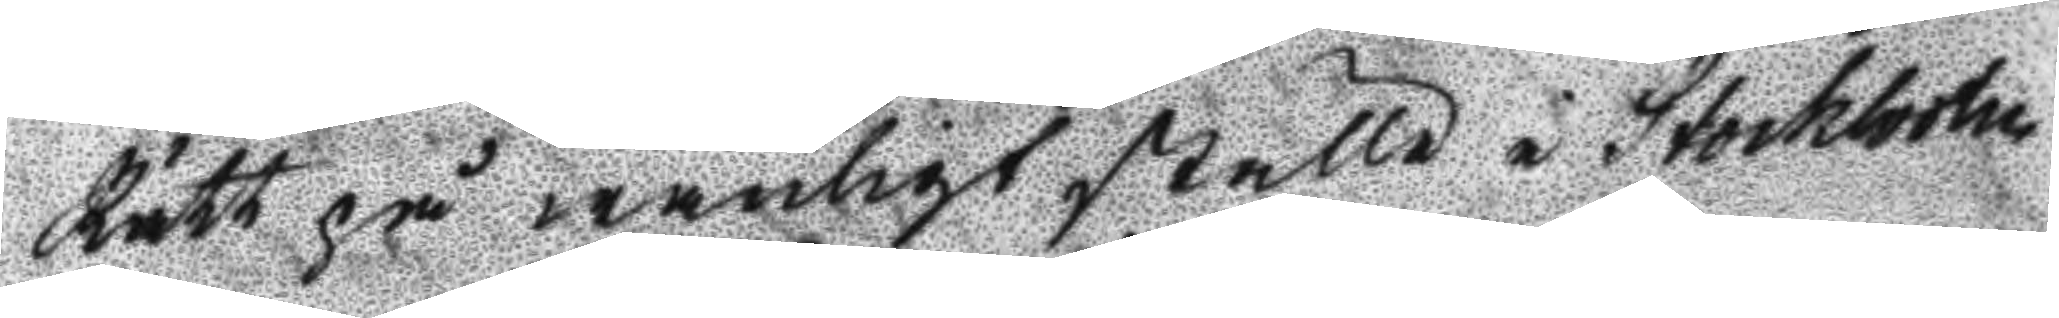Rätt på wanligt ställe i Stockholm
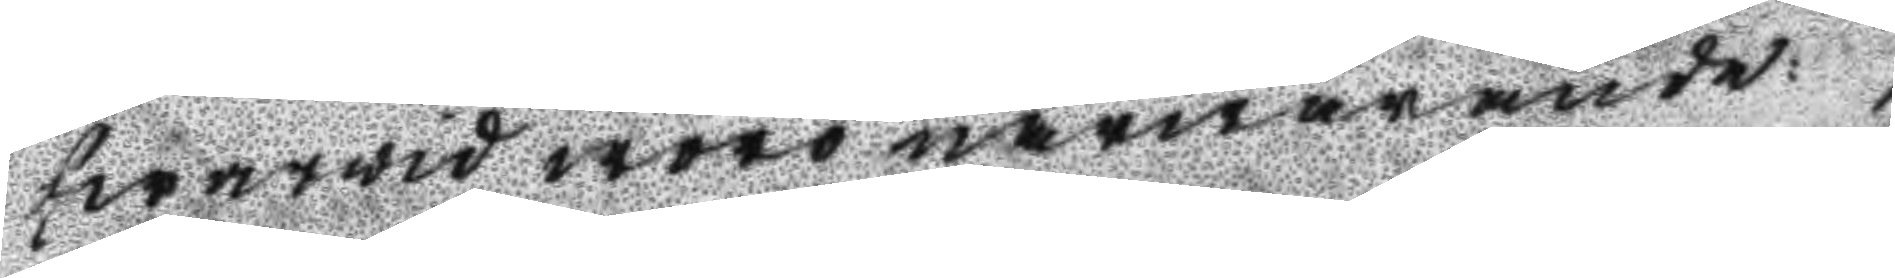hwarwid woro närwarande:
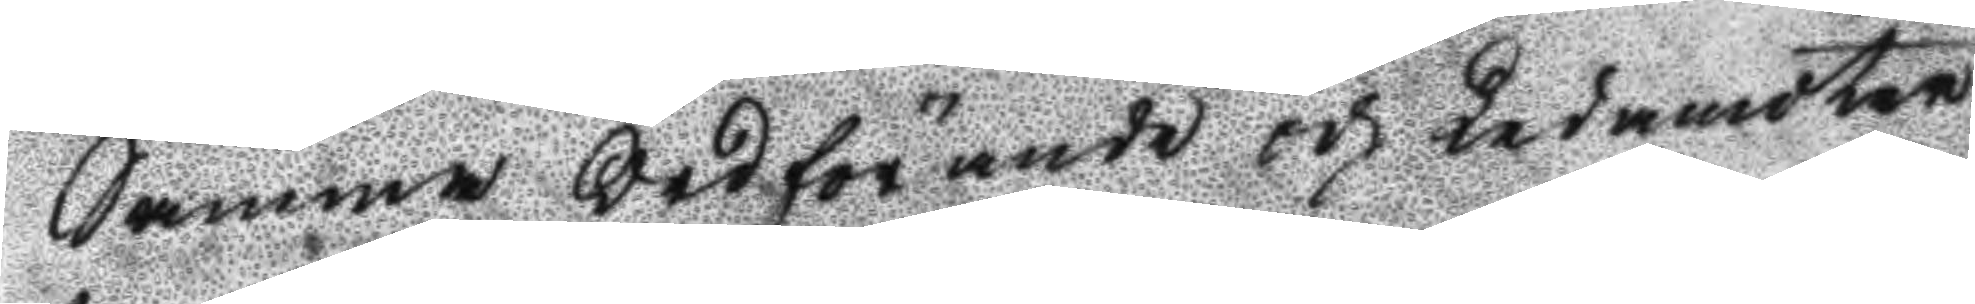Samma Ordförande och Ledamöter
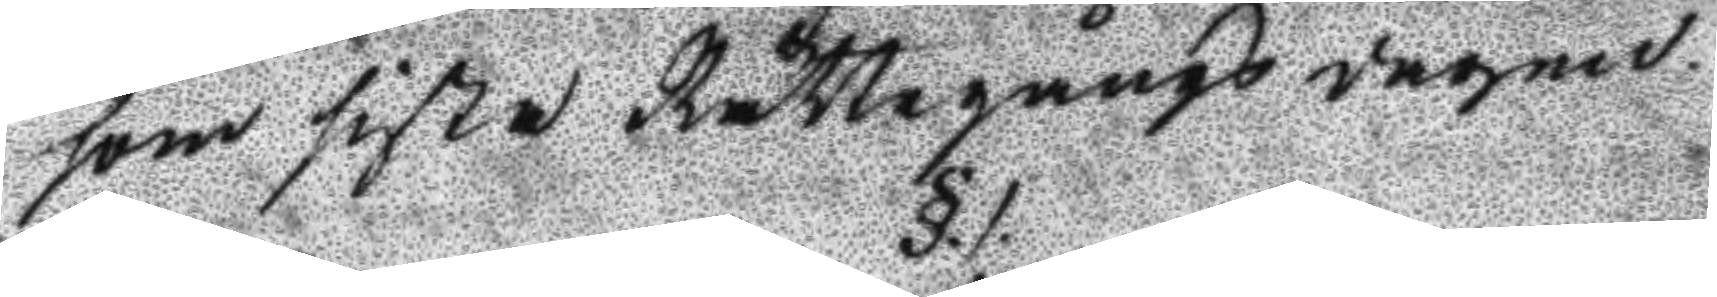som sista Rättegångs dagen.
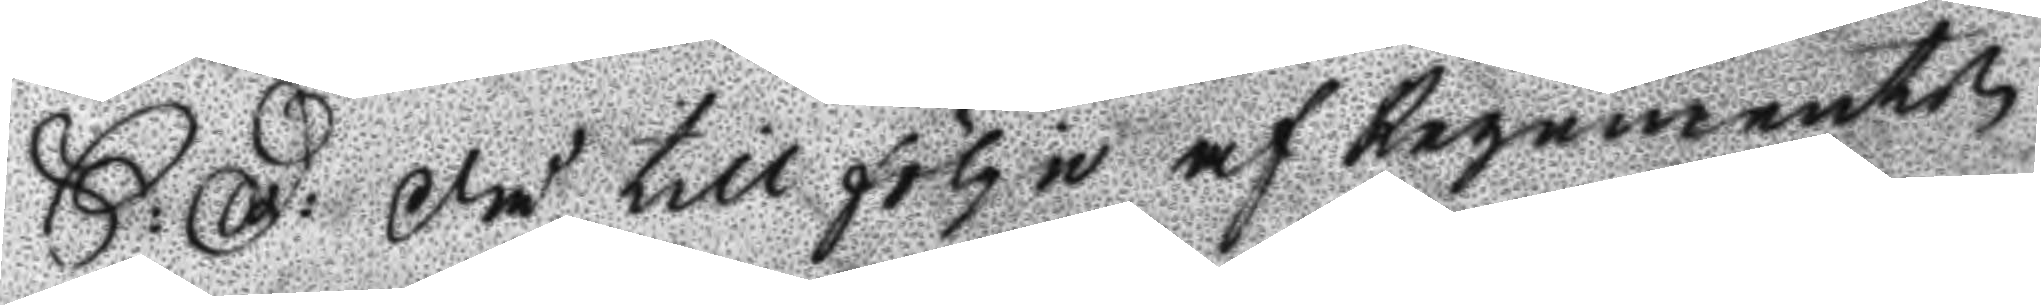S: D: Då till följe af Regementz
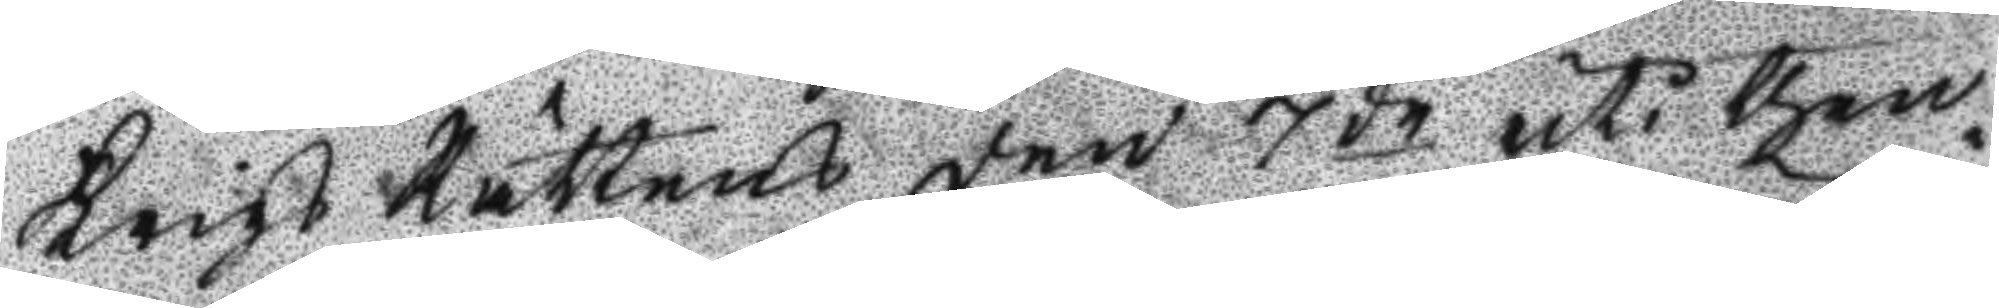Krigs Rättens den 7de uti then¬
